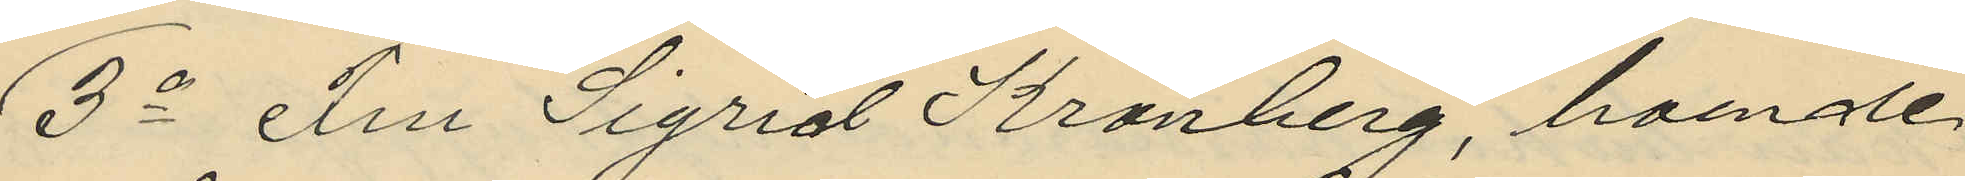3o Fru Sigrid Kronberg, boende
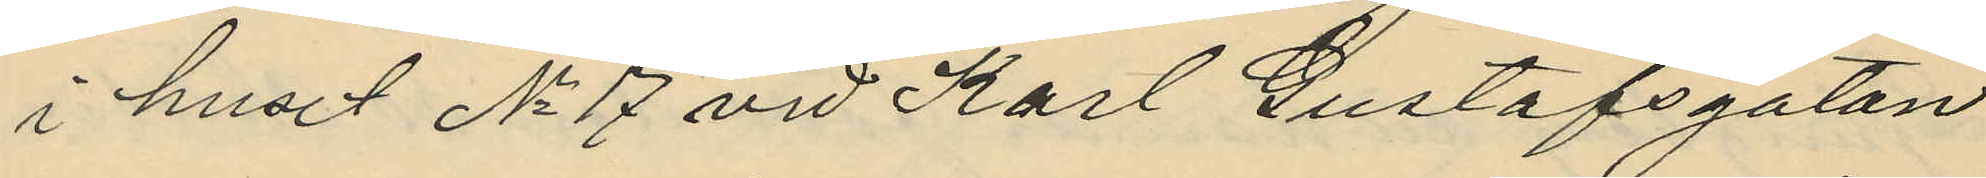i huset No 17 vid Karl Gustafsgatan
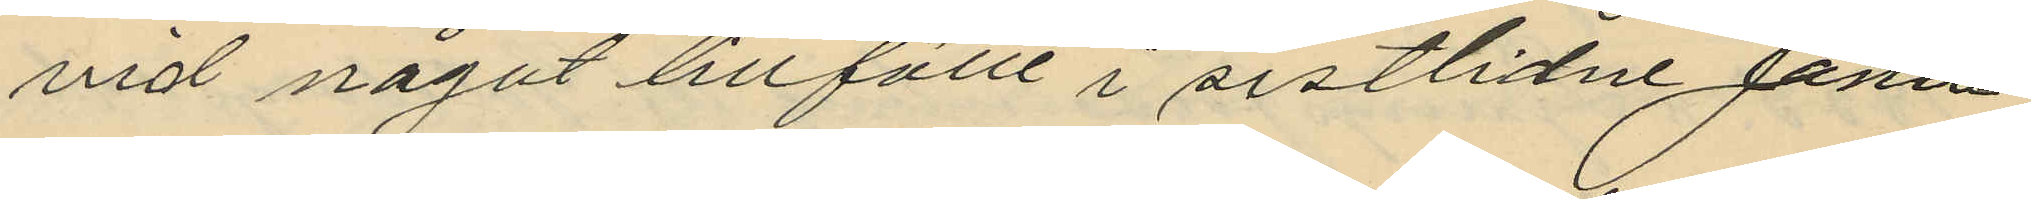vid något tillfälle i sistlidne Janu¬
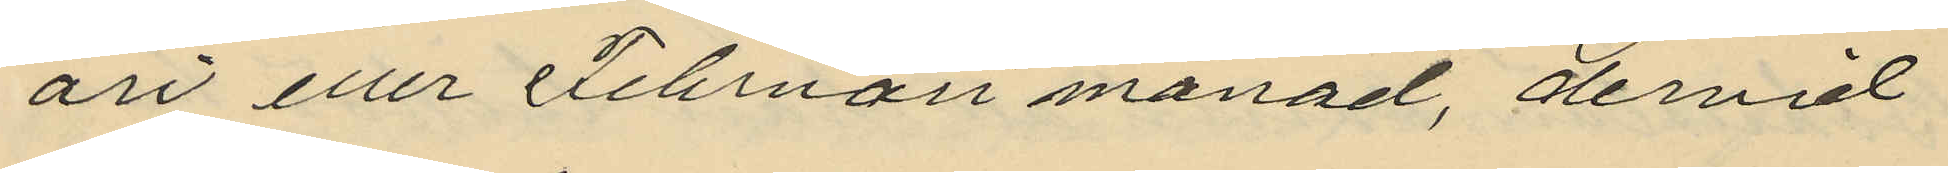ari eller Februari månad, dervid
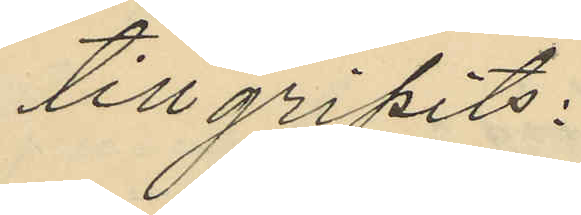tillgripits:
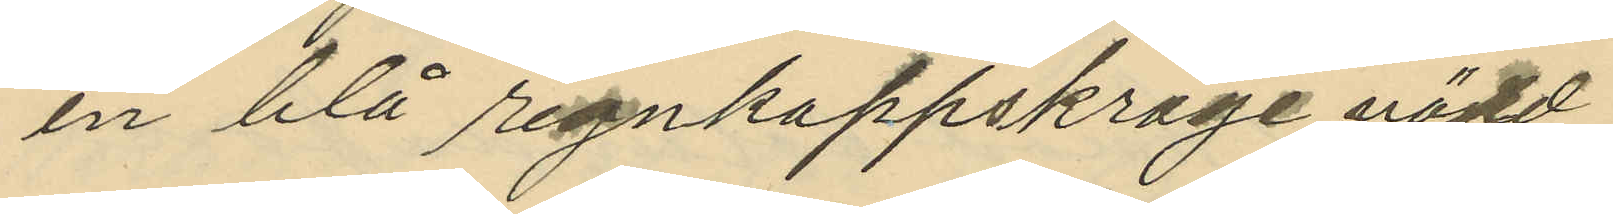en blå regnkappskrage värd
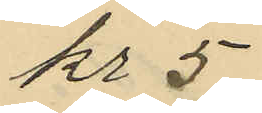kr 5
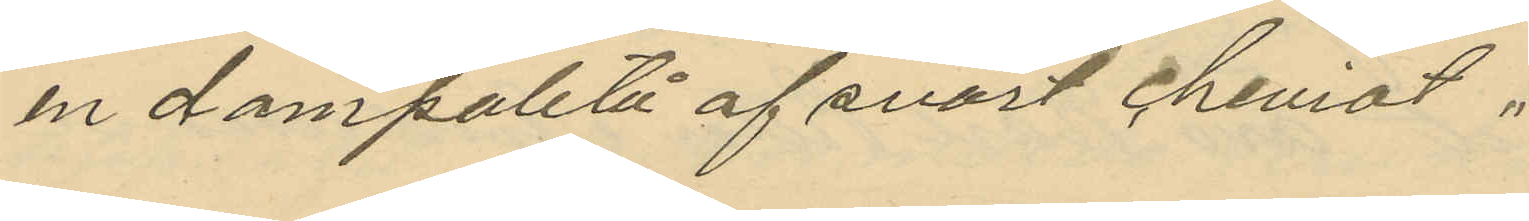en dampaletå af svart cheviot
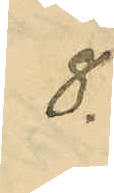8.
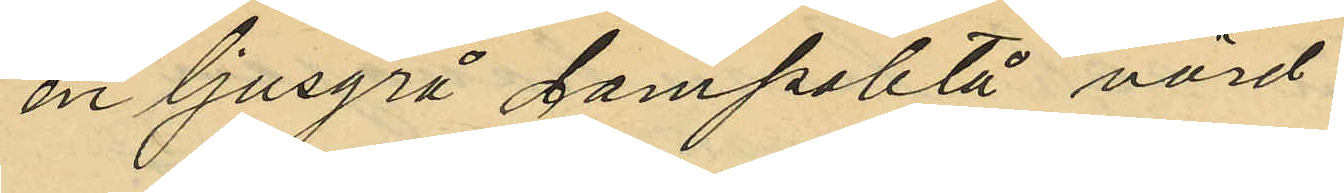en ljusgrå Dampaletå, värd
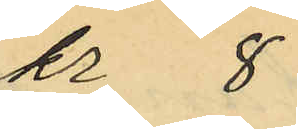kr 8
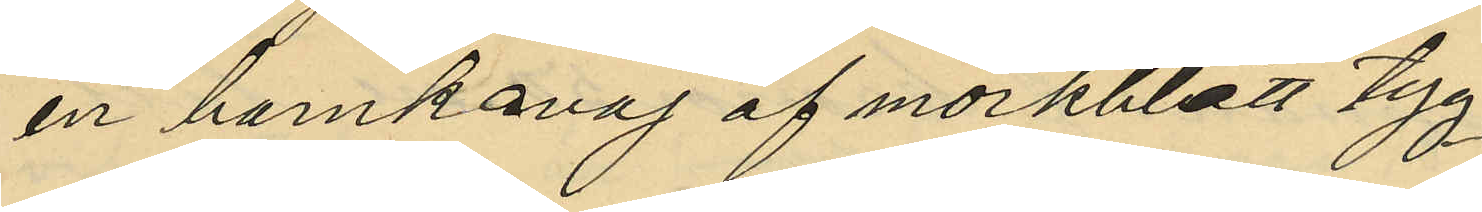en barnkavaj af mörkblått tyg
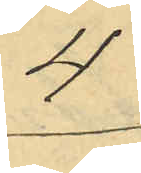4
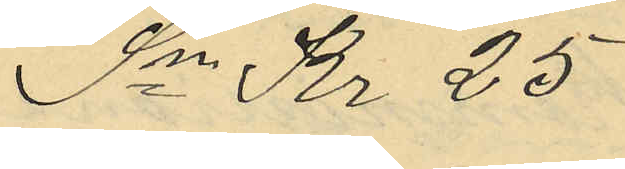Sa Kr 25
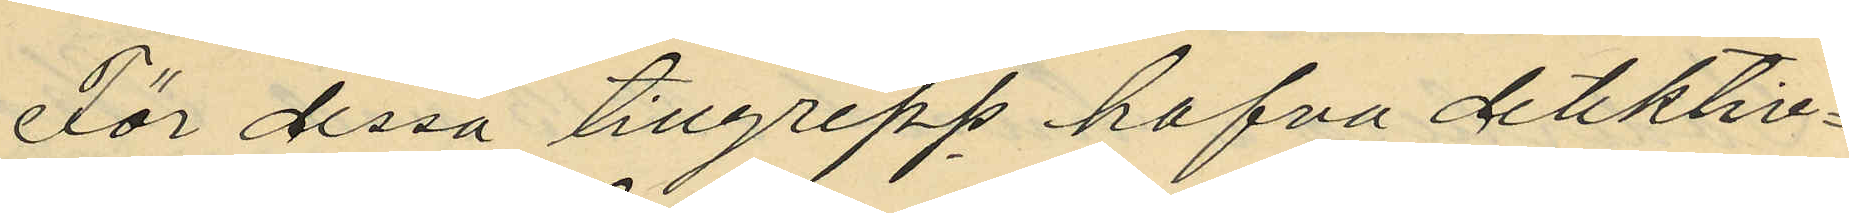För dessa tillgrepp hafva detektiv¬
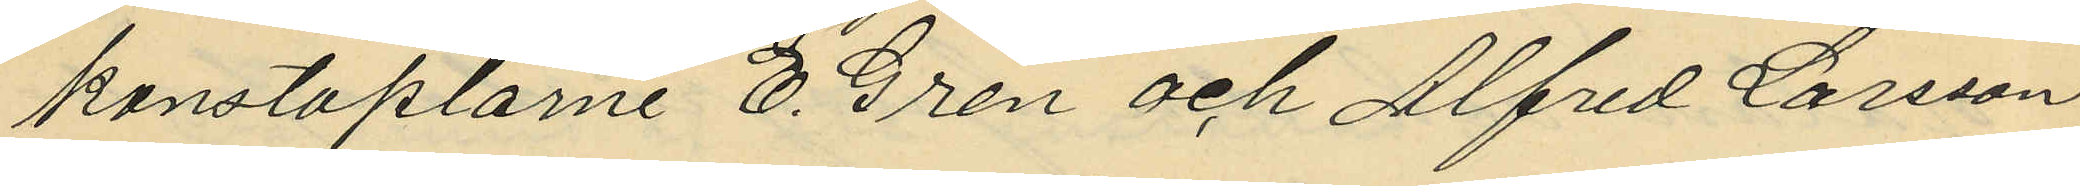konstaplarne E. Gren och Alfred Larsson
